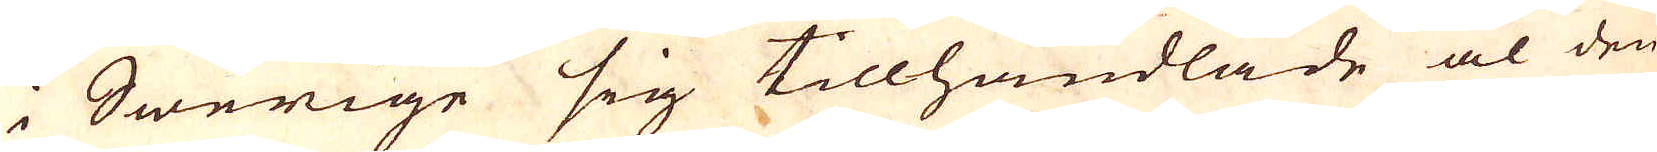i Swerige sig tillhandlade al den
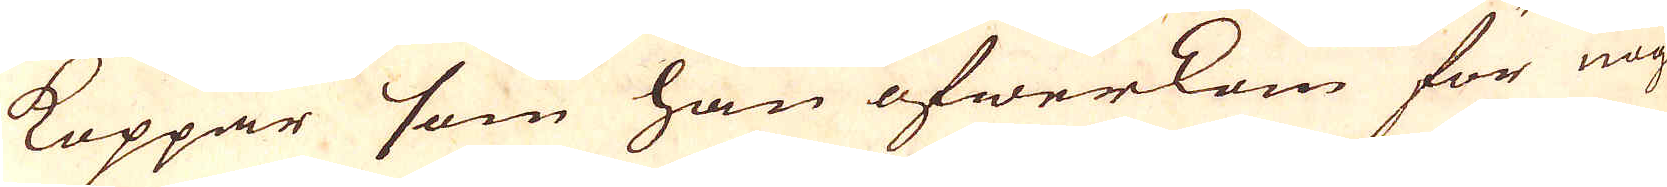Koppar som han öfwerkom för nog
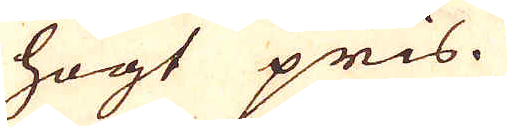högt pris.
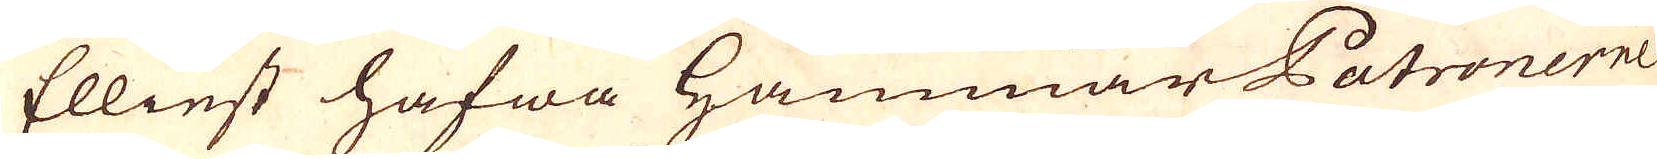Elliest hafwa Hammar Patronerne
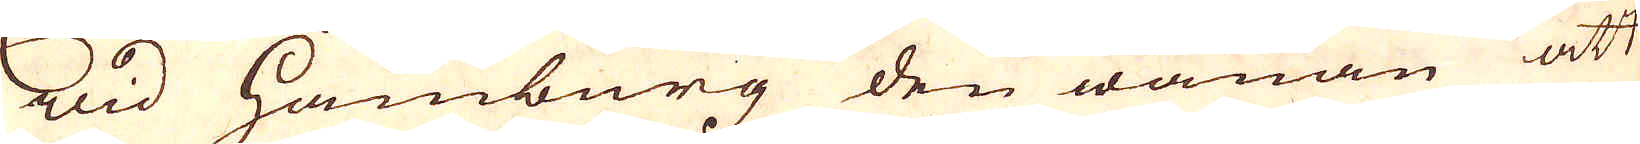wid Hamburg den wanan att
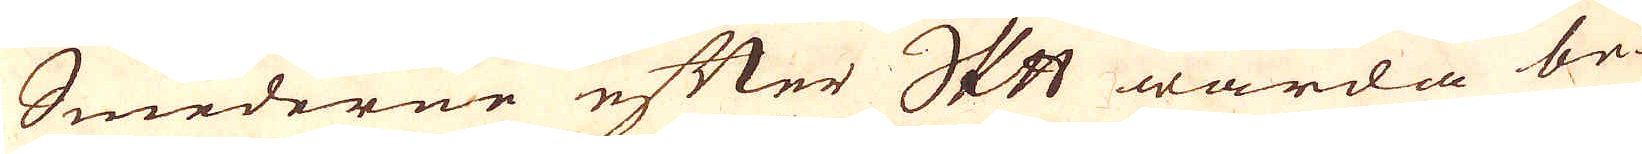Smederne efter skeppund warda be-
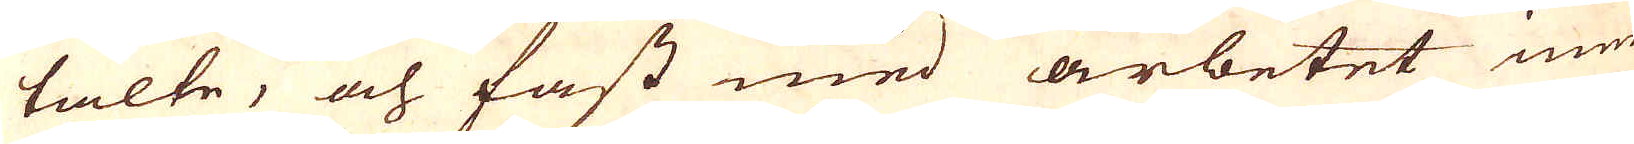talte, och fast med arbetet inne-
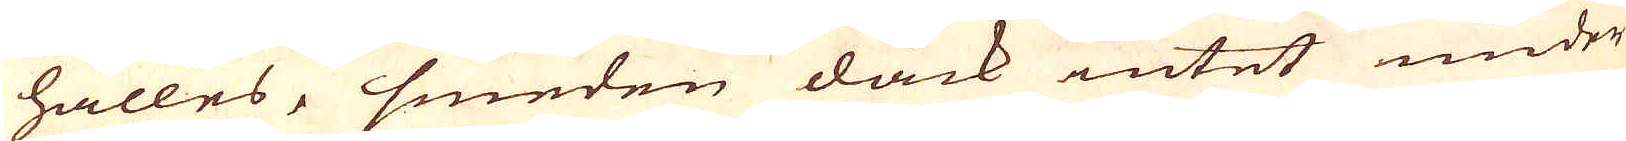hålles, smeden dåck intet under-
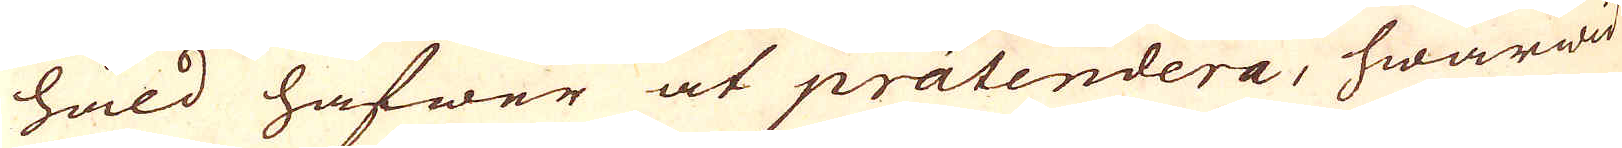håld hafwer at praetendera, hwarwid
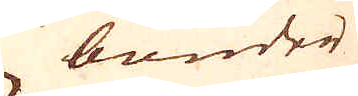bönder
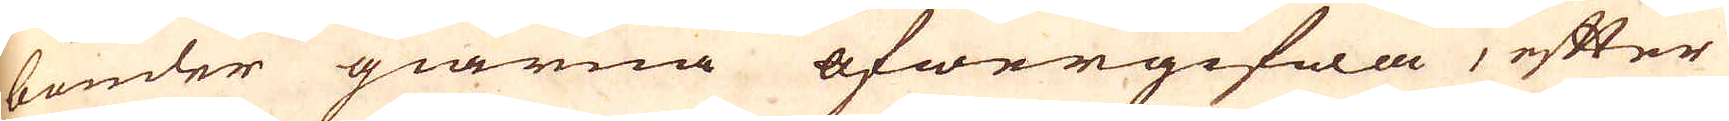bönder giärna öfwergifwa, efter
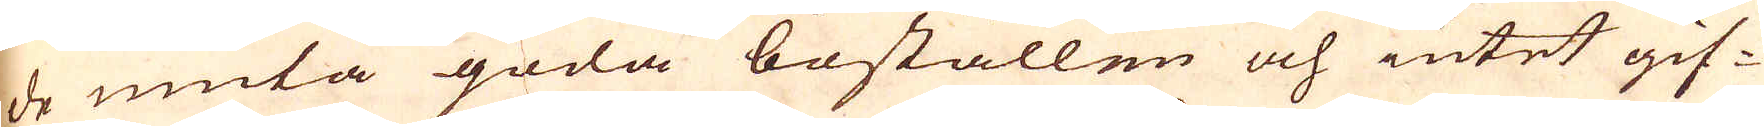de niuta goda boställen och intet gif-
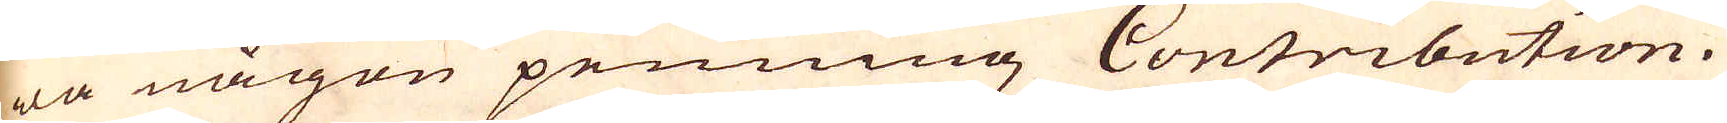wa någon penning Contribution.
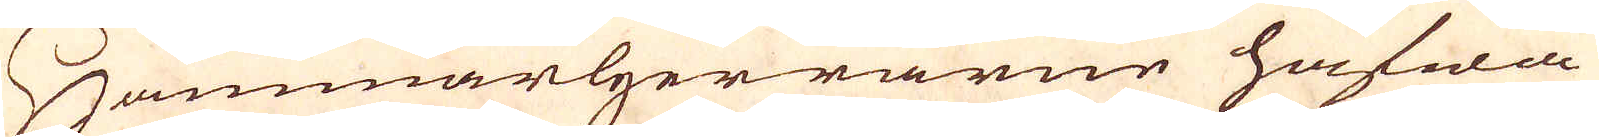Hammarherrarne hafwa
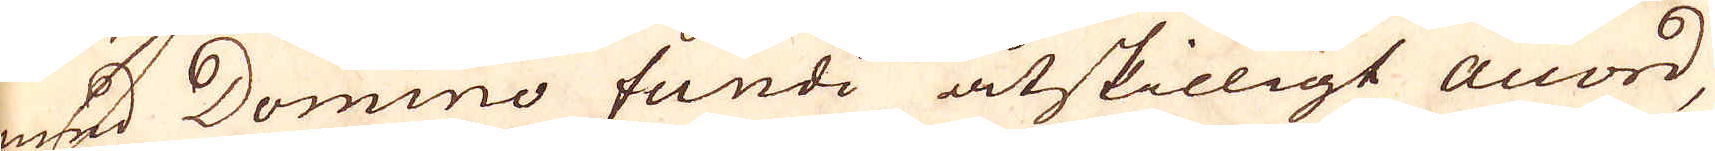med Domino fundi åtskilligt accord,
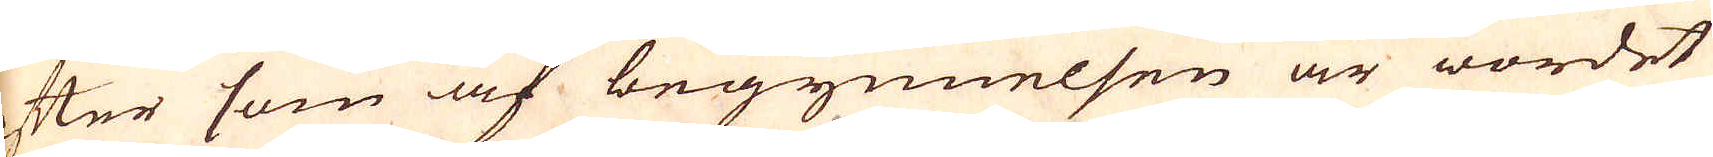efter som af begynnelsen är wordet
